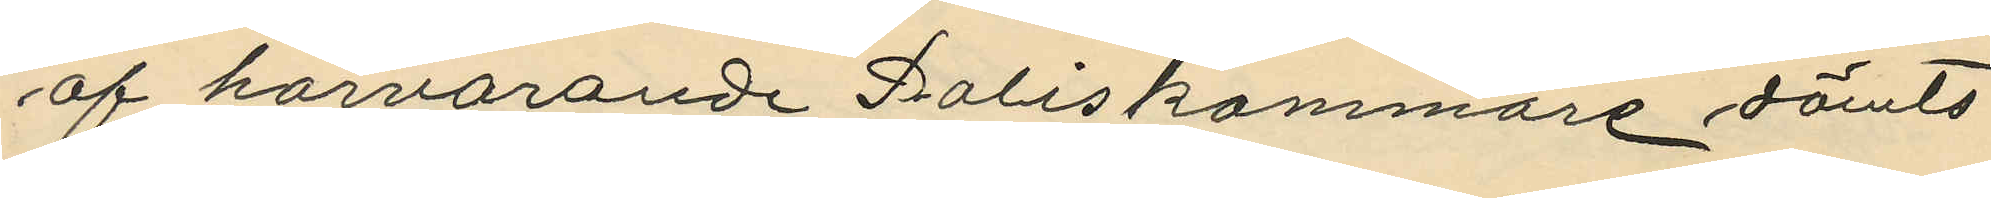af härvarande Poliskammare dömts
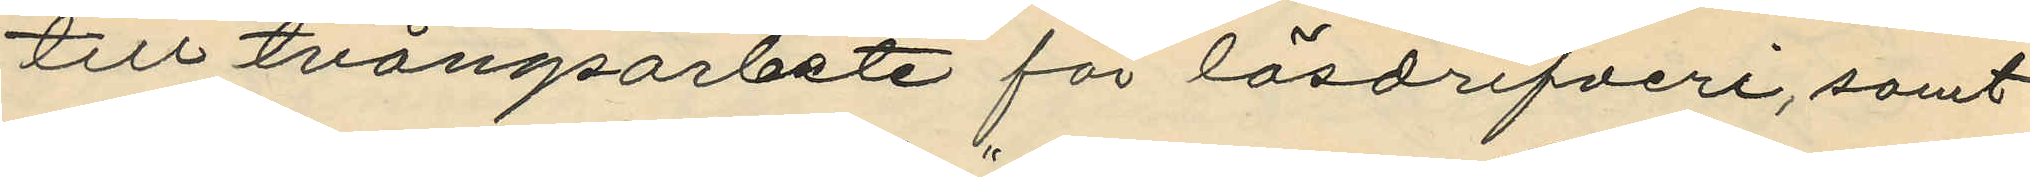till tvångsarbete för lösdrifveri, samt
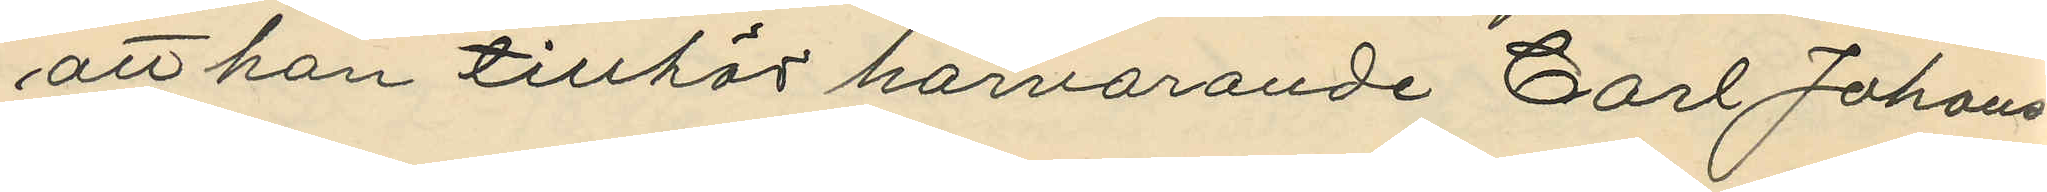att han tillhör härvarande Carl Johans¬
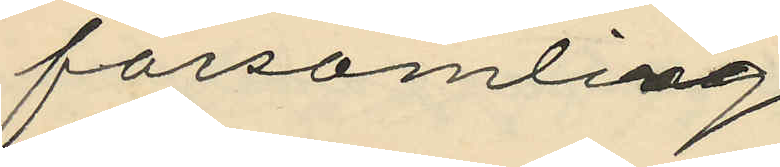församling.
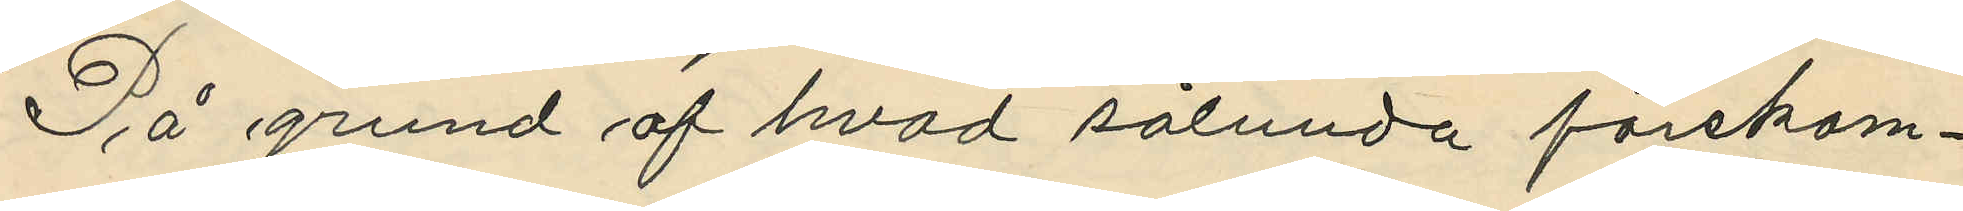På grund af hvad sålunda förekom¬
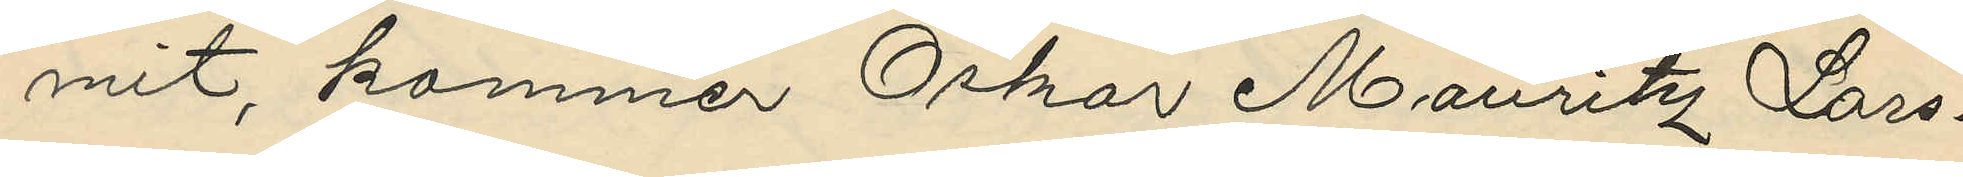mit, kommer Oskar Mauritz Lars¬
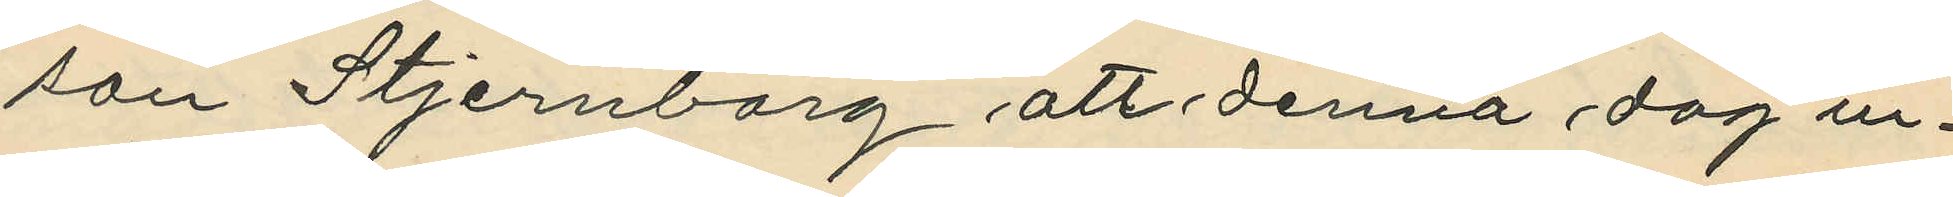son Stjernborg att denna dag in¬
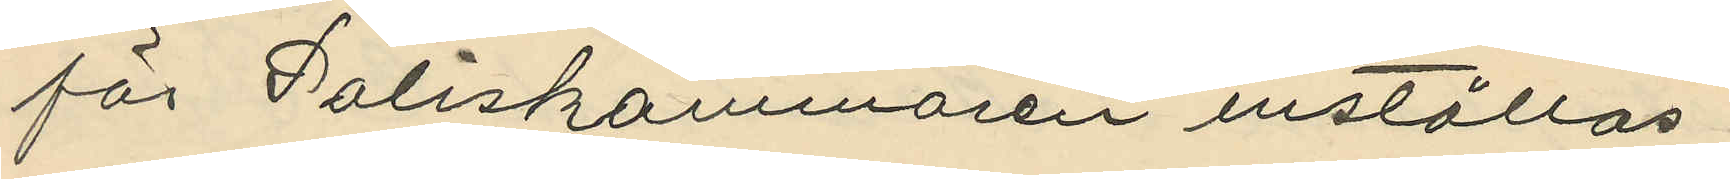för Poliskammaren inställas.
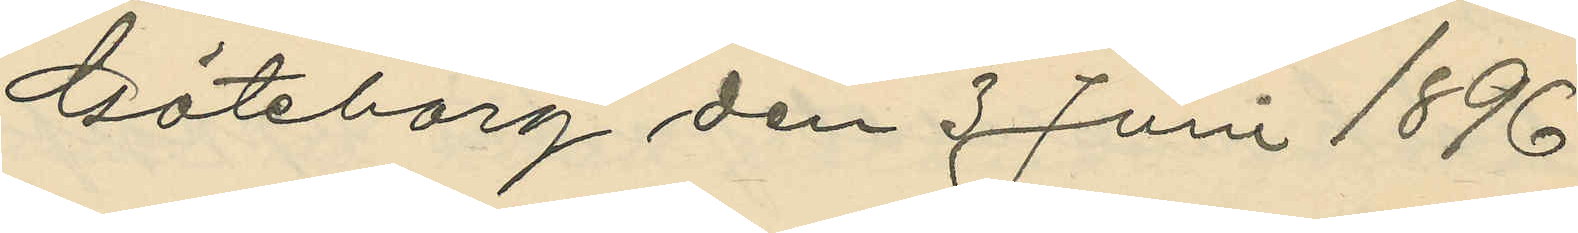Göteborg den 3 Juni 1896.
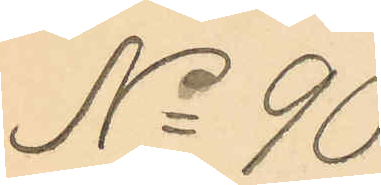No 90
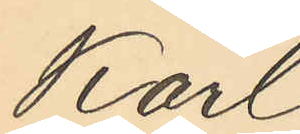Karl
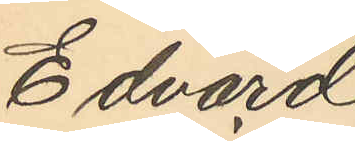Edvard
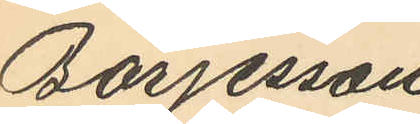Börjesson
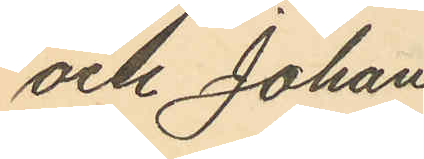och Johan
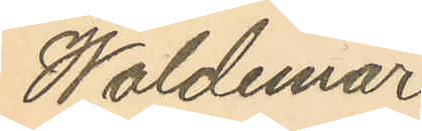Waldemar
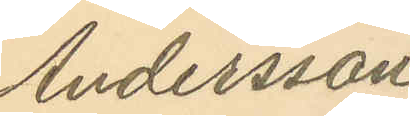Andersson
